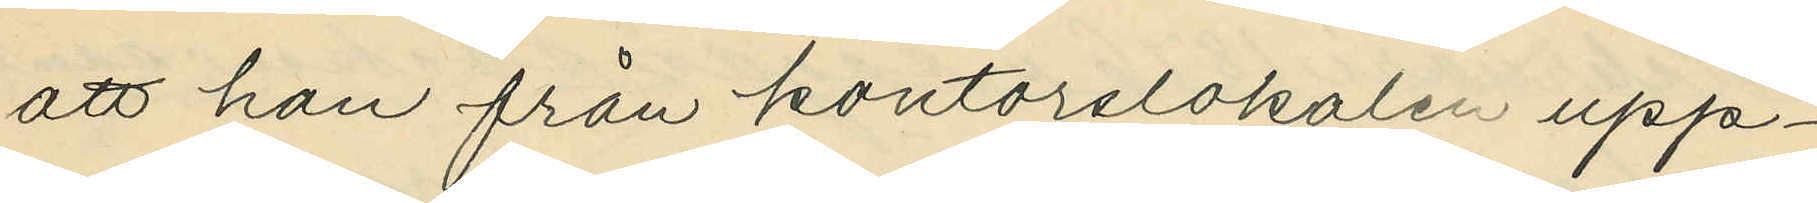att han från kontorslokalen upp¬
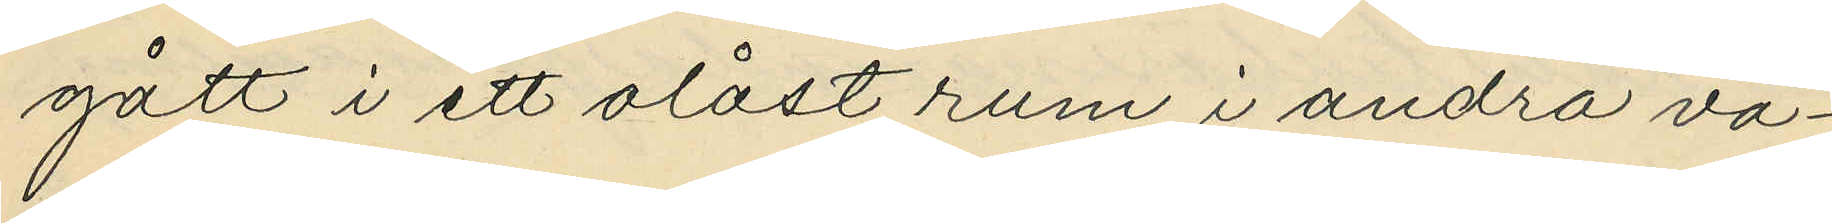gått i ett olåst rum i andra vå¬
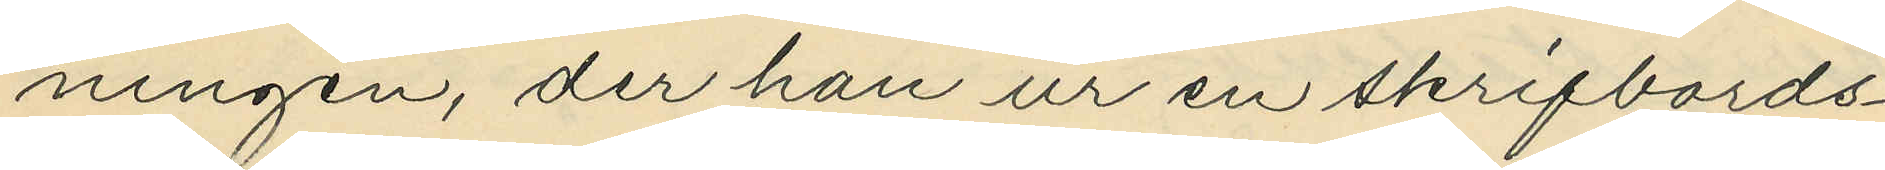ningen, der han ur en skrifbords¬
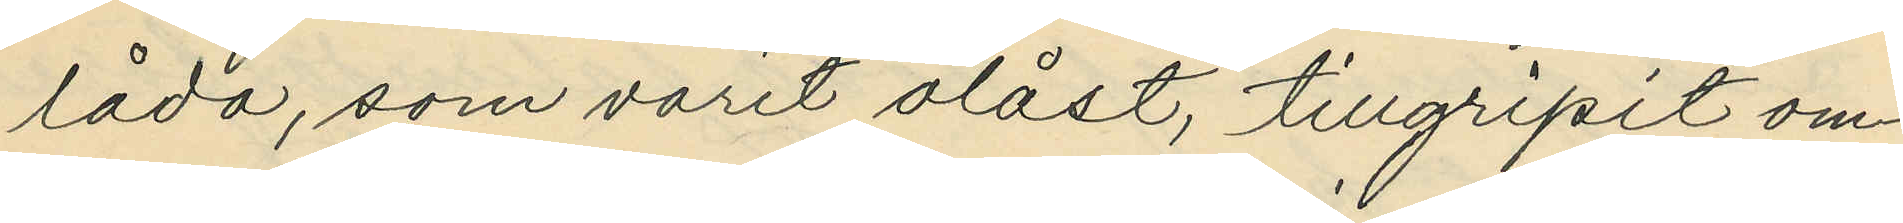låda, som varit olåst, tillgripit om¬
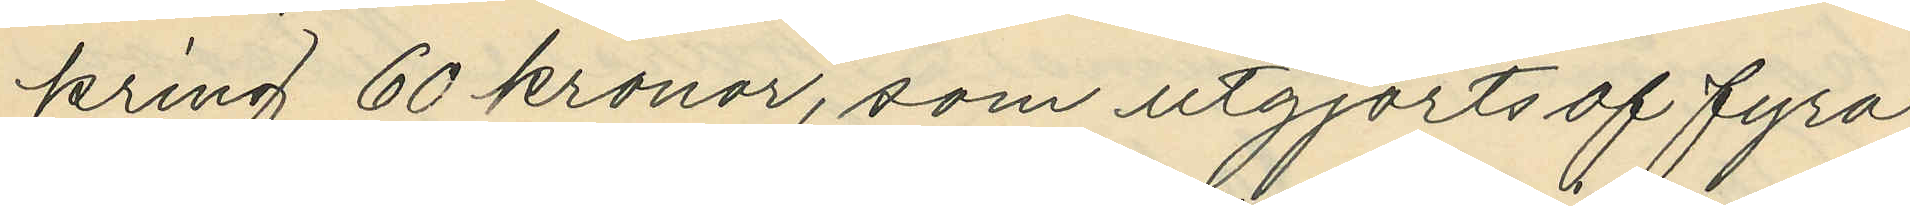kring 60 kronor, som utgjorts af fyra
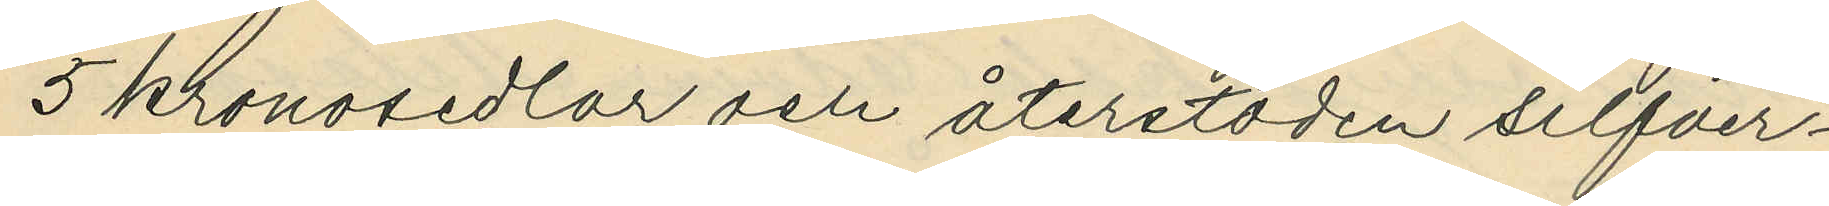5 kronosedlar och återstoden silfver¬
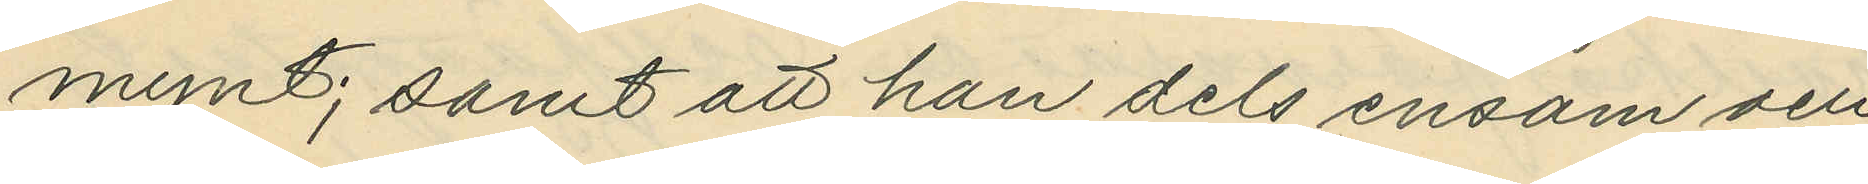mynt; samt att han dels ensam och
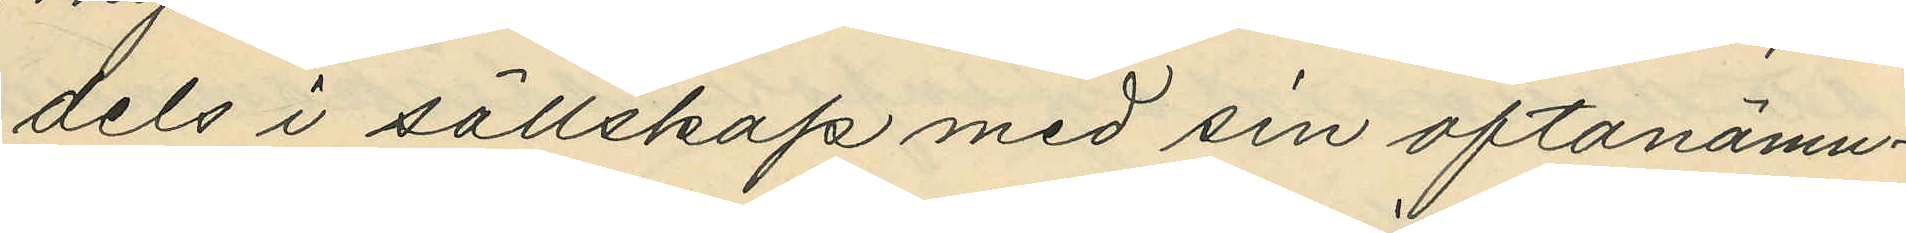dels i sällskap med sin oftanämn¬
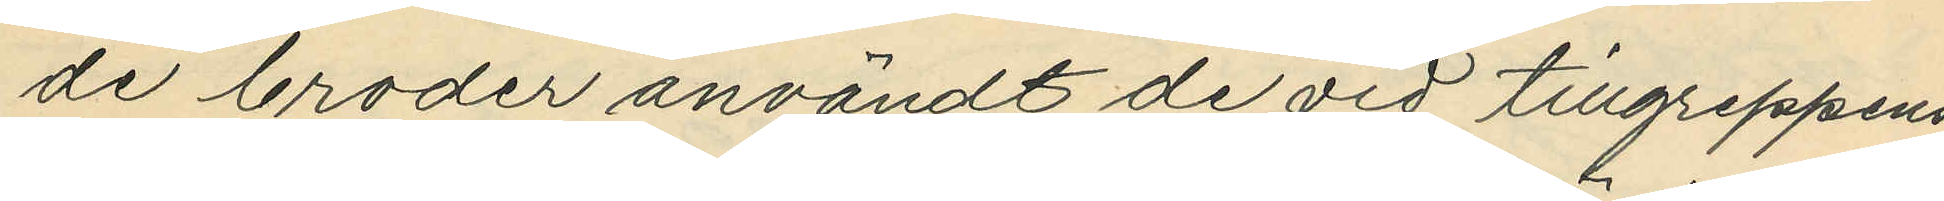de broder användt de vid tillgreppens
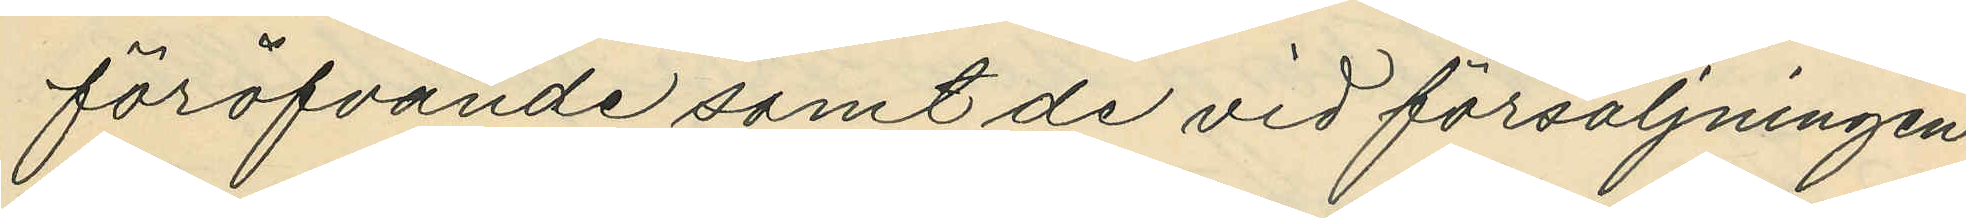föröfvande samt de vid försäljningen
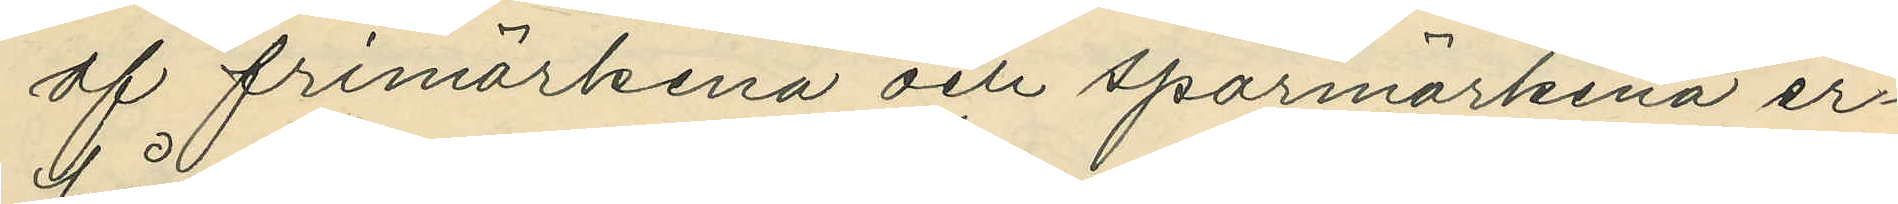af frimärkena och sparmärkena er¬
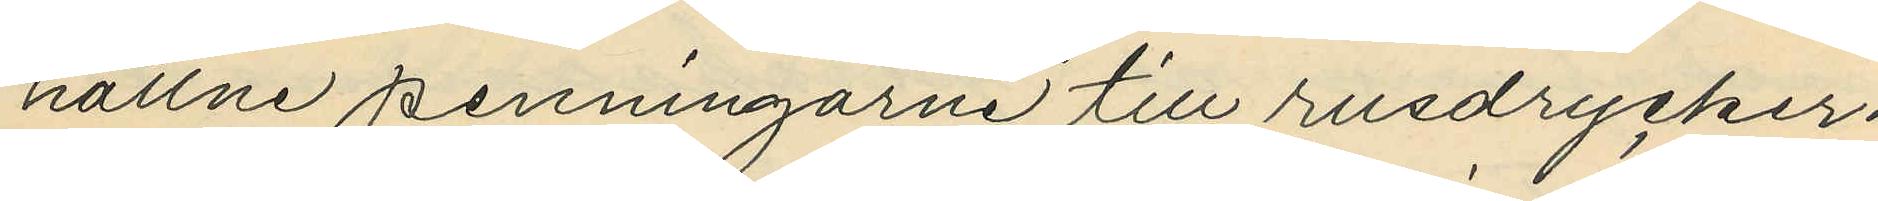hållne penningarne till rusdrycker.
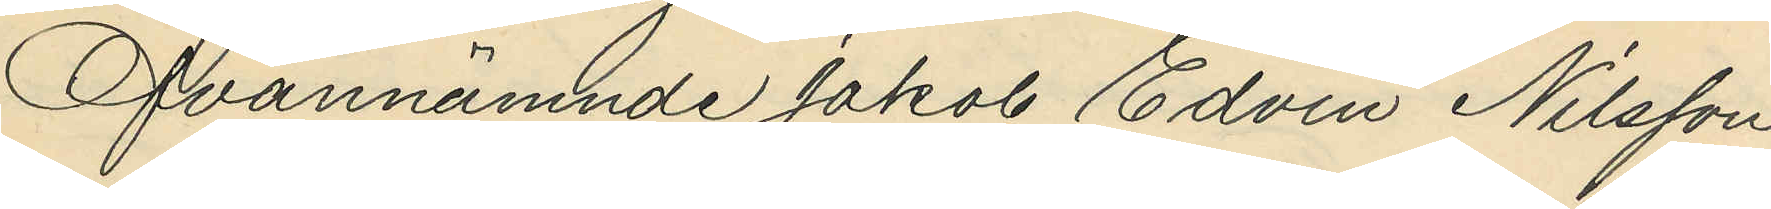Ofvannämnde Jakob Edvin Nilsson
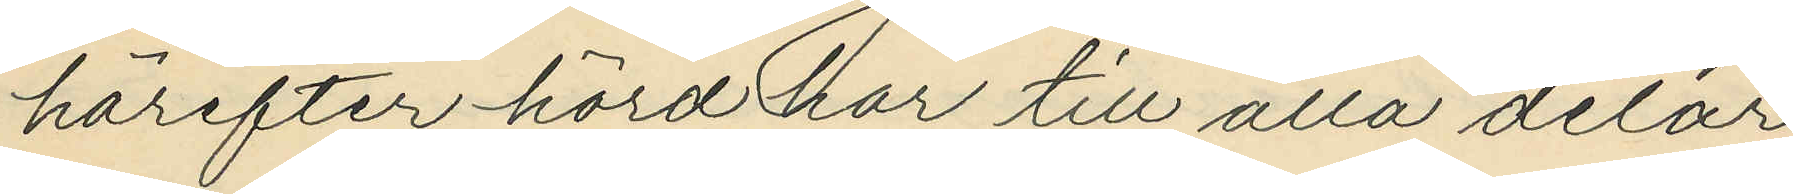härefter hörd har till alla delar
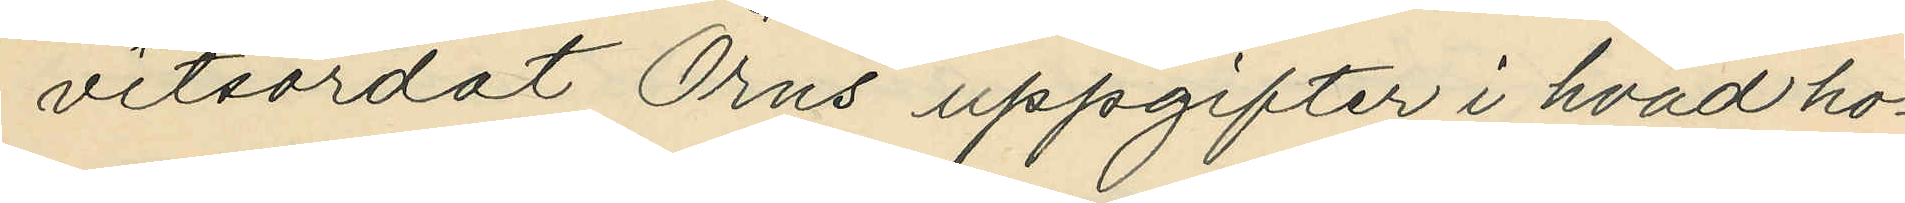vitsordat Örns uppgifter i hvad ho¬
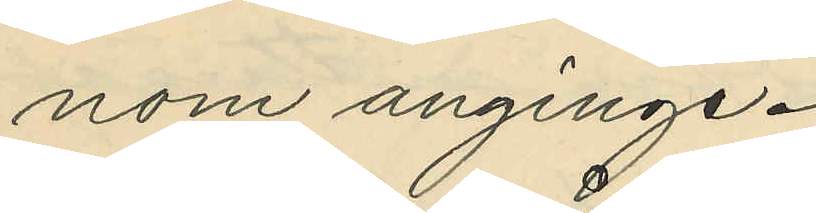nom anginge.
